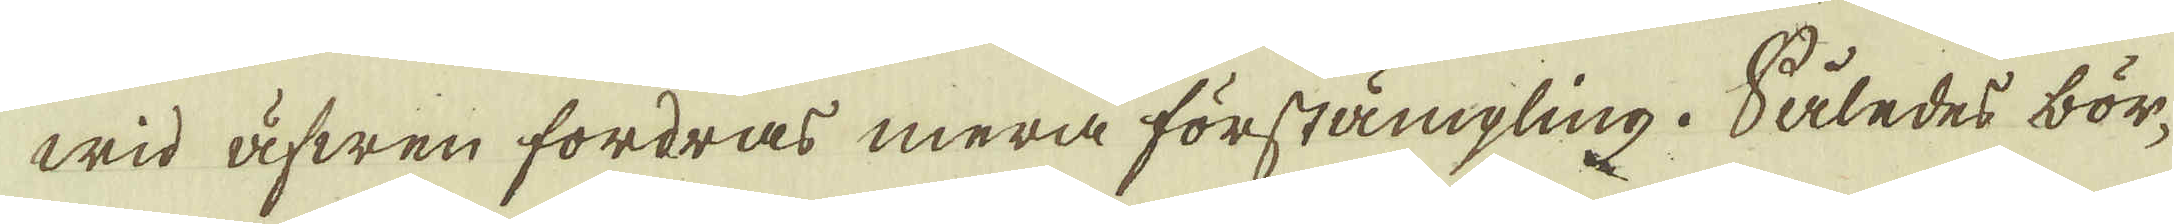wid äfwen fordras mera förstämpling. Således bör-
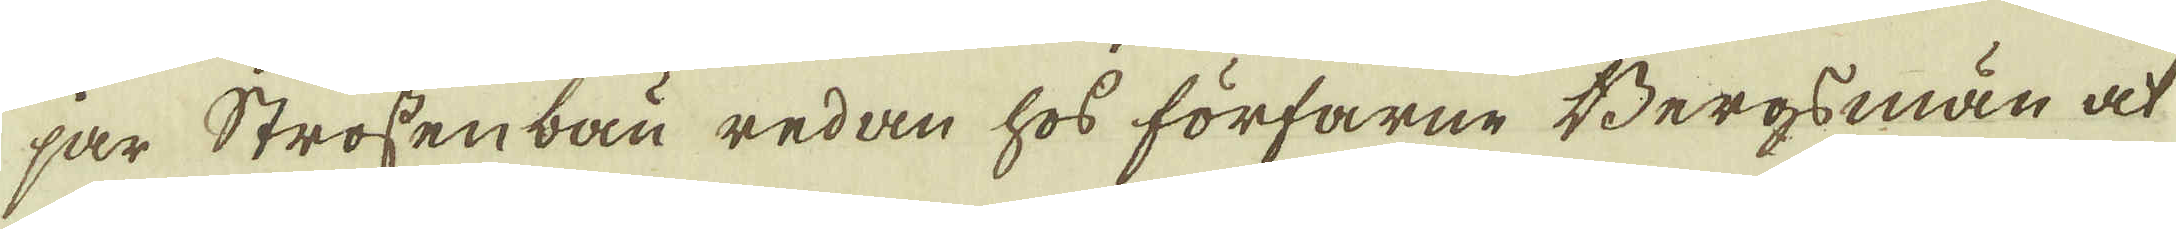jar Strossenbau redan hos förfarne Bergsmän at
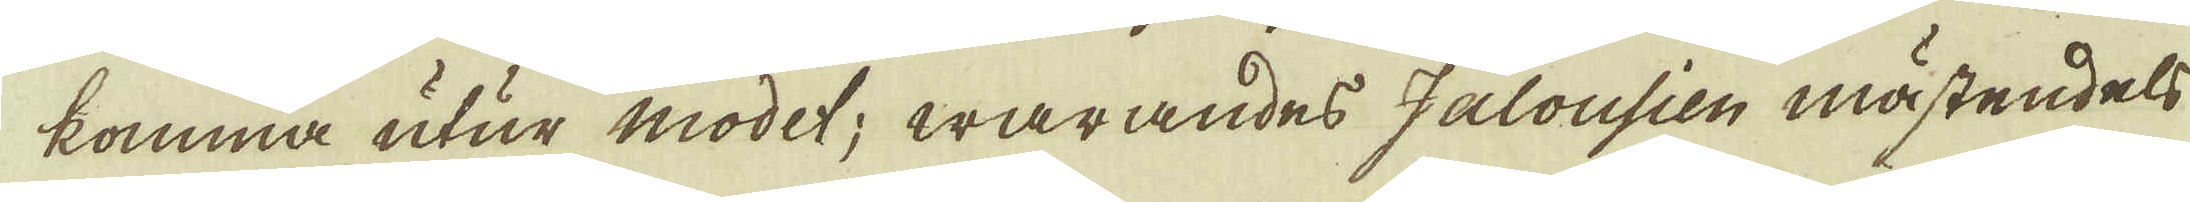komma utur modet; warandes Jalousien mästendels
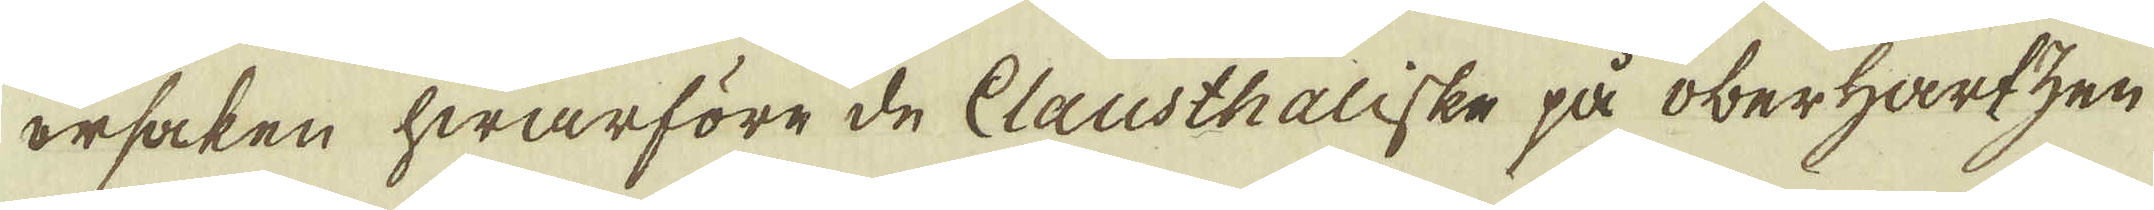orsaken hwarföre de Clausthaliske på oberhartzen
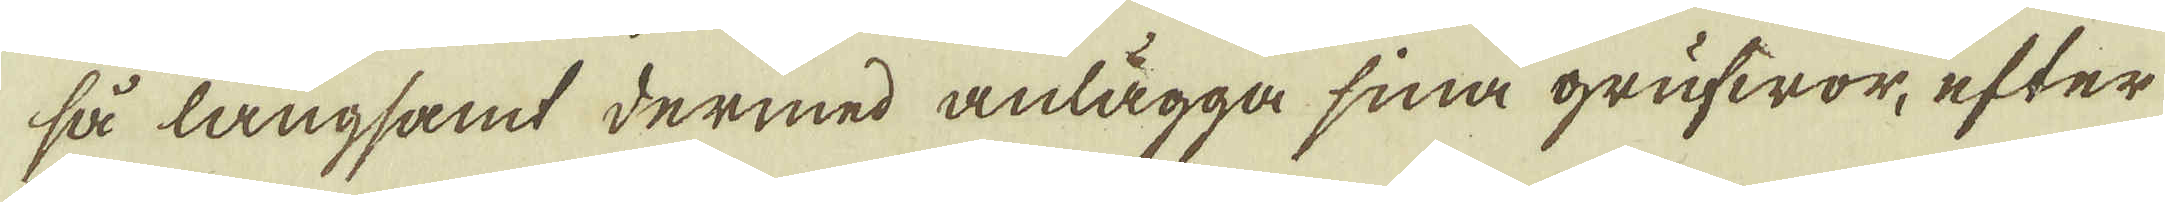så långsamt dermed anlägga sina grufwor, efter
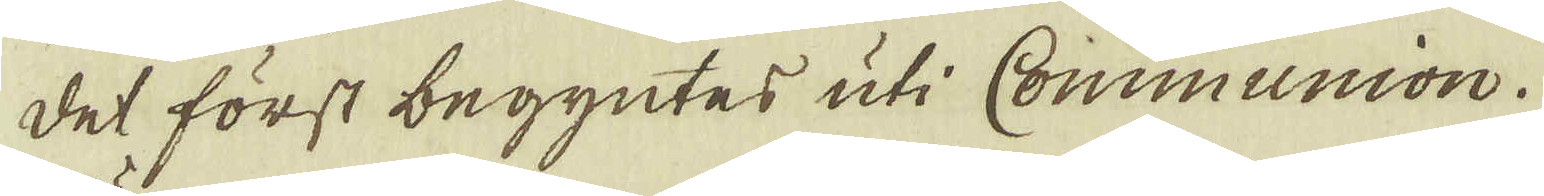det först begyntes uti Communion.
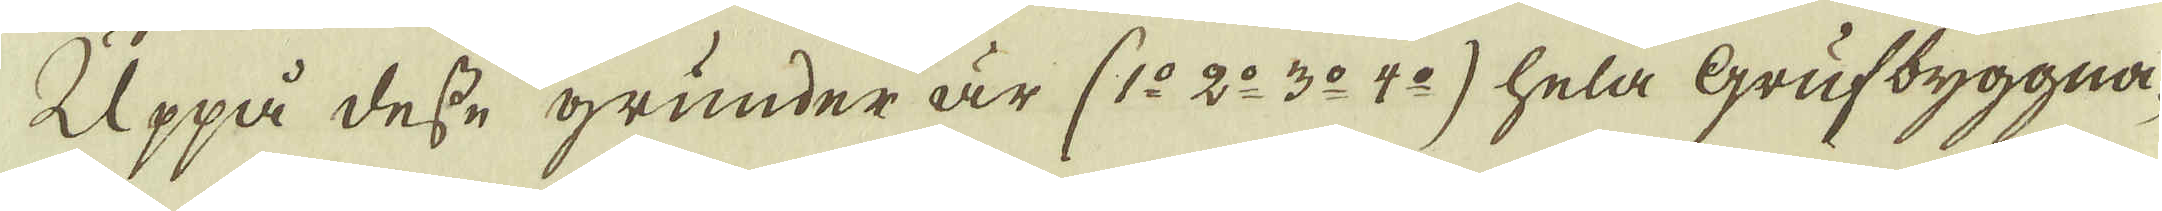Uppå desse grunder är (1:o 2:o 3:o 4:o) hela Grufbyggna-
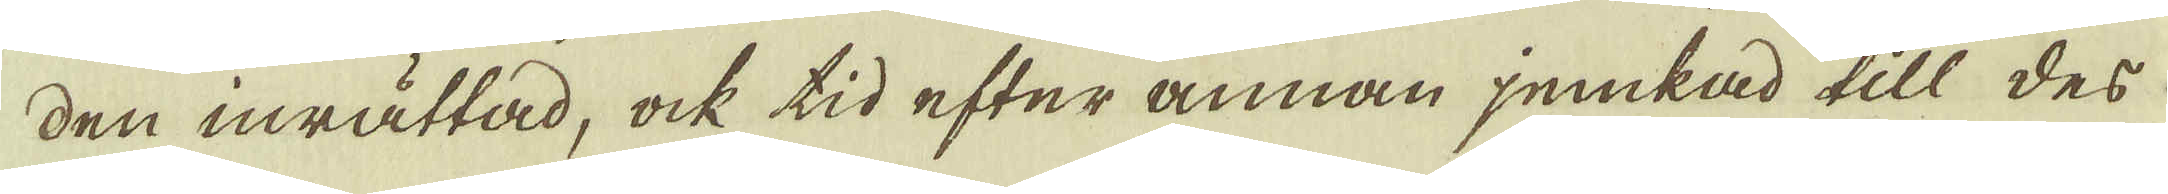den inrättad, ock tid efter annan jemkad till des
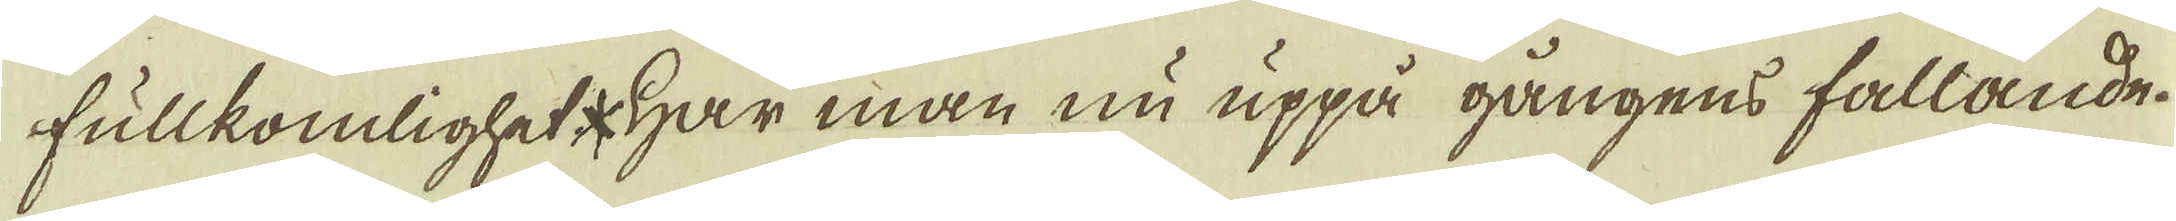fullkomlighet * Har man nu uppå gångens fallande.
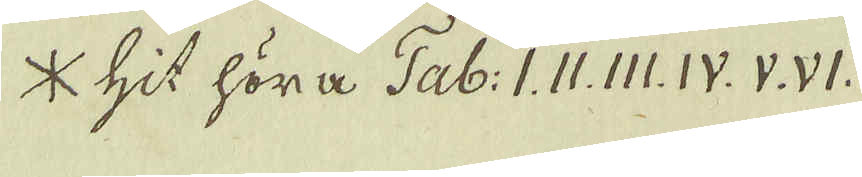* hit höra Tab: I. II. III. IV. V. VI.
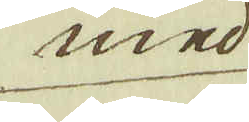med
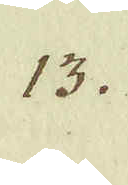13.
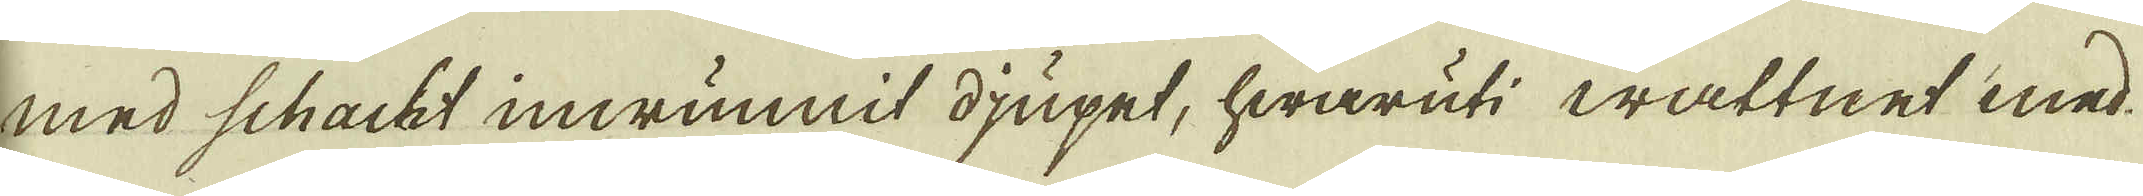med schacht inwunnit djupet, hwaruti wattnet med
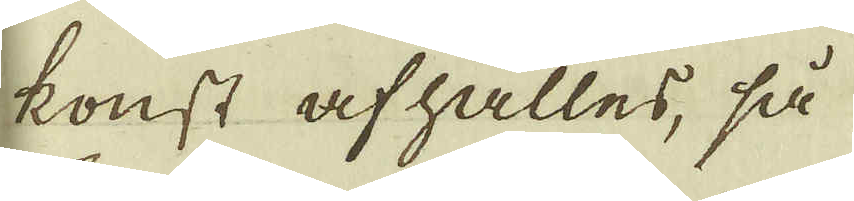konst afhålles, så
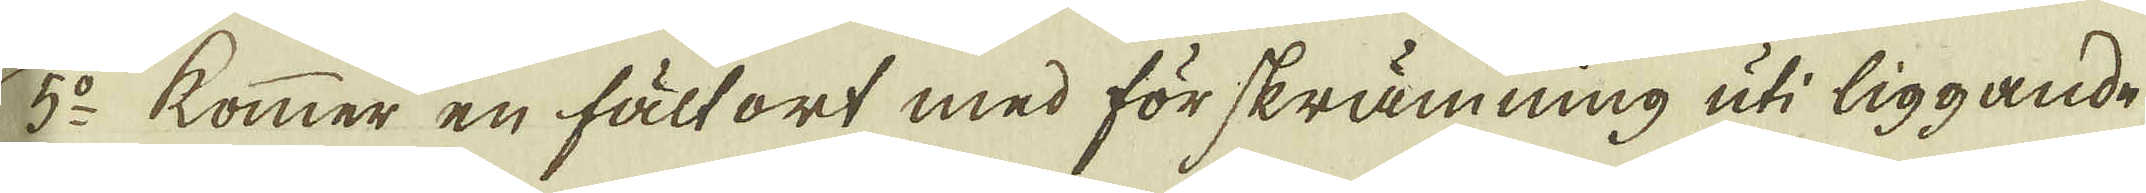5:o kommer en fält ort med förskrämning uti liggande
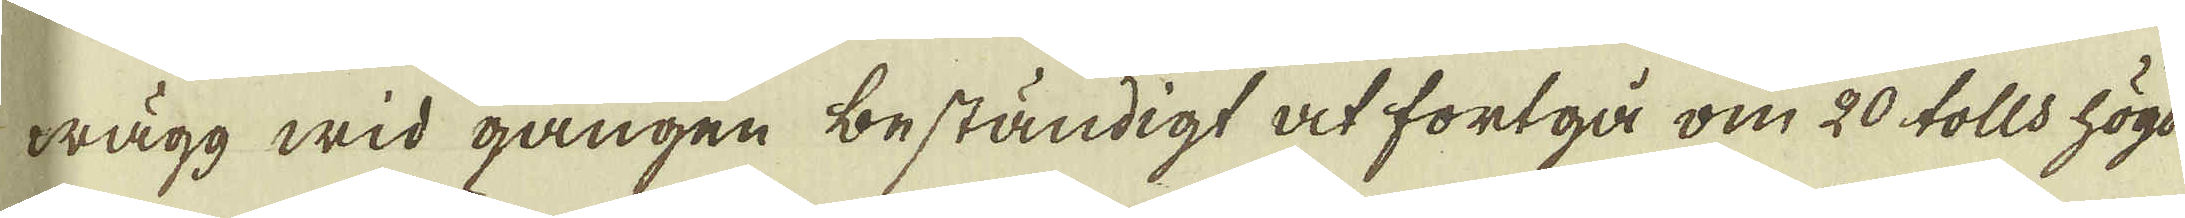wägg wid gången beständigt at fortgå om 20 tolls högd
